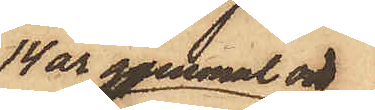14 år gammal och
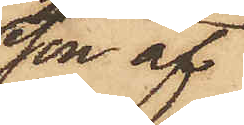son af
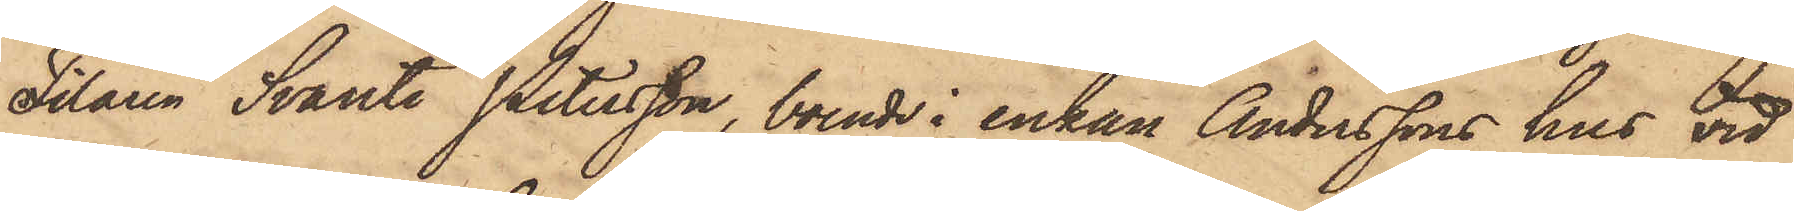Filaren Svante Petersson, boende i enkan Anderssons hus vid
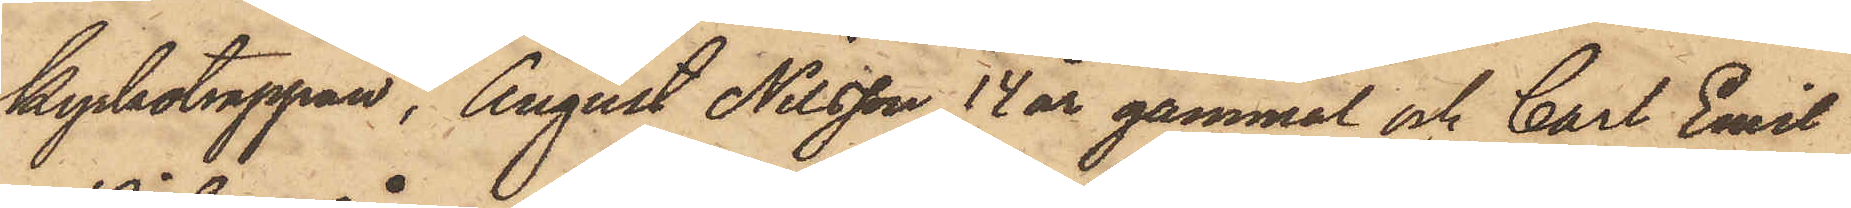Kyrkotrappan, August Nilsson, 14 år gammal och Carl Emil
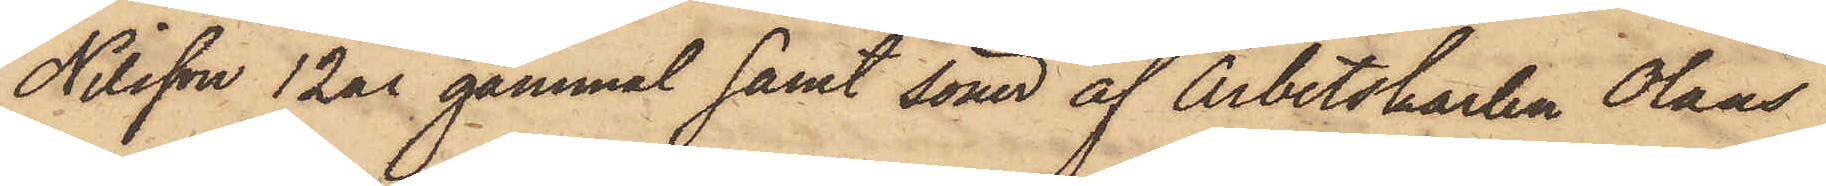Nilsson 12 år gammal samt söner af Arbetskarlen Olaus
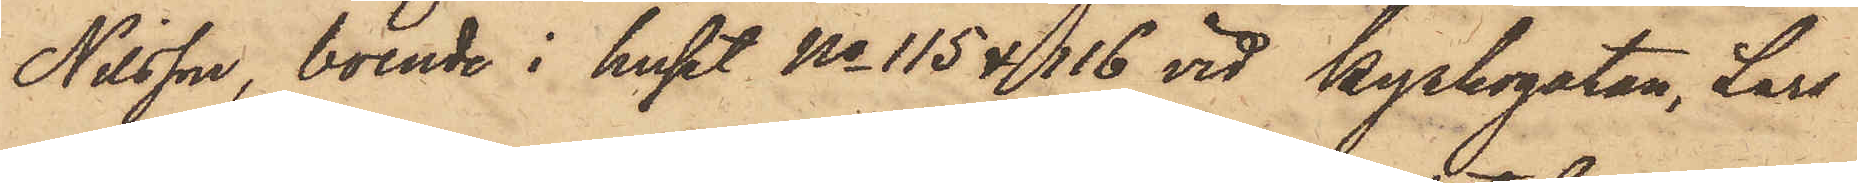Nilsson, boende i huset No 115 & 116 vid Kyrkogatan, Lars
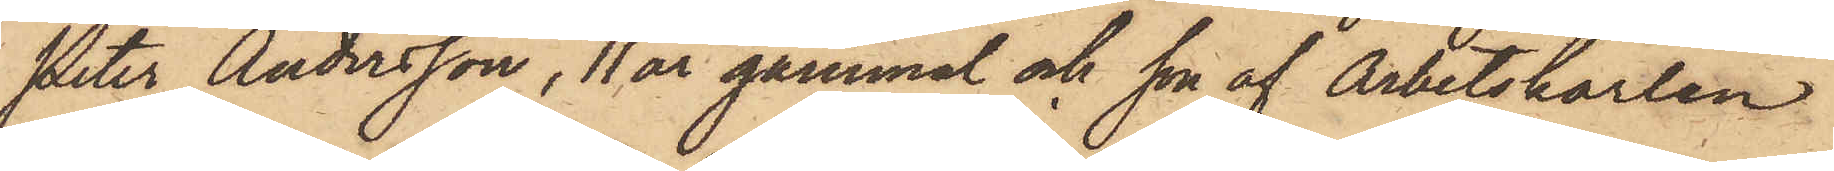Peter Andersson, 11 år gammal och son af Arbetskarlen
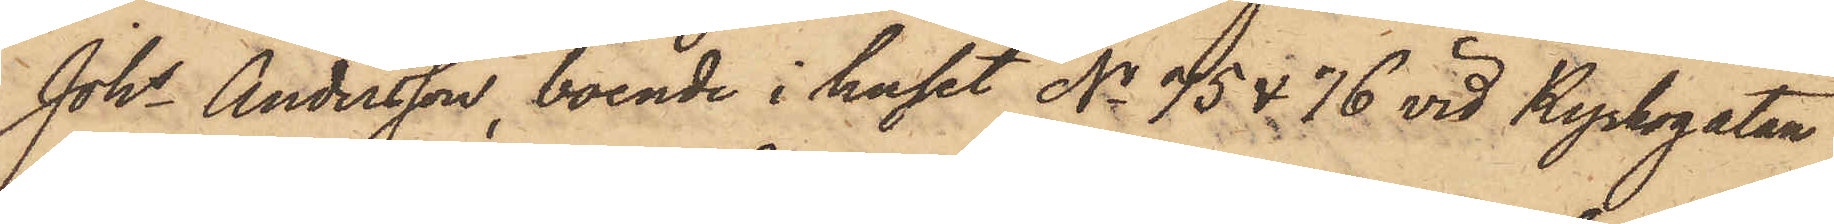Johs Andersson, boende i huset No 75 & 76 vid Kyrkogatan,
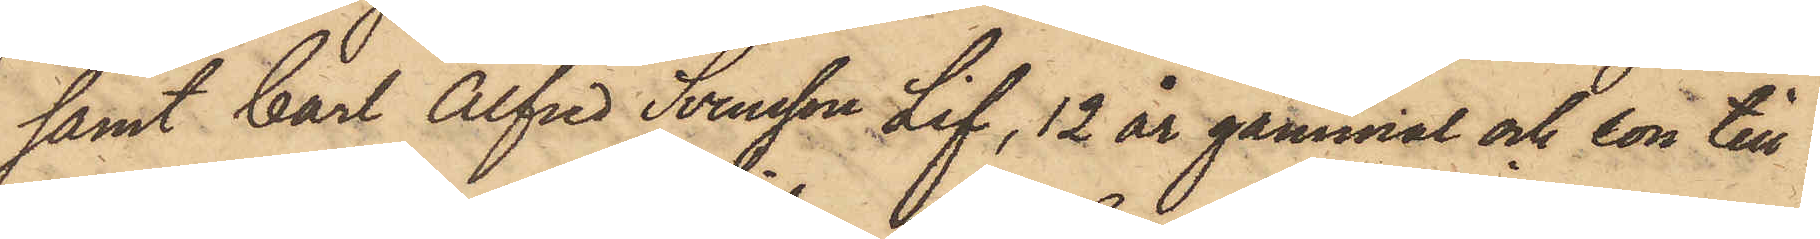samt Carl Alfred Svensson Lif, 12 år gammal och son till
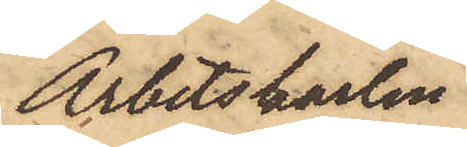Arbetskarlen
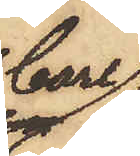Carl
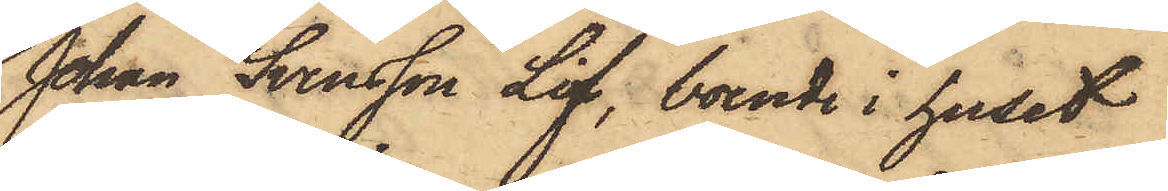Johan Svensson Lif, boende i huset
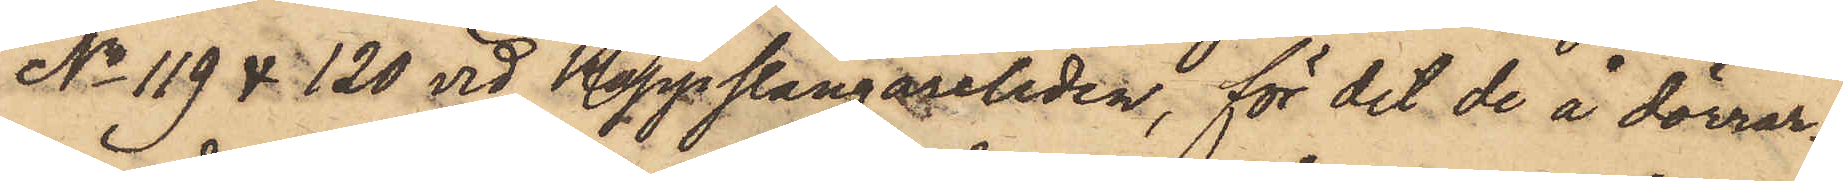No 119 & 120 vid Käppslängareliden, för det de å dörrar¬
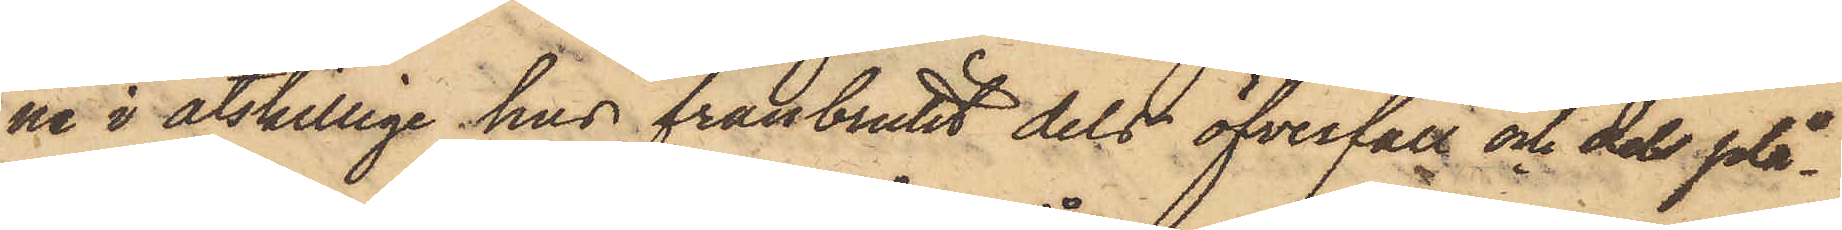ne i åtskilliga hus frånbrutit dels öfverfall och dels plå¬
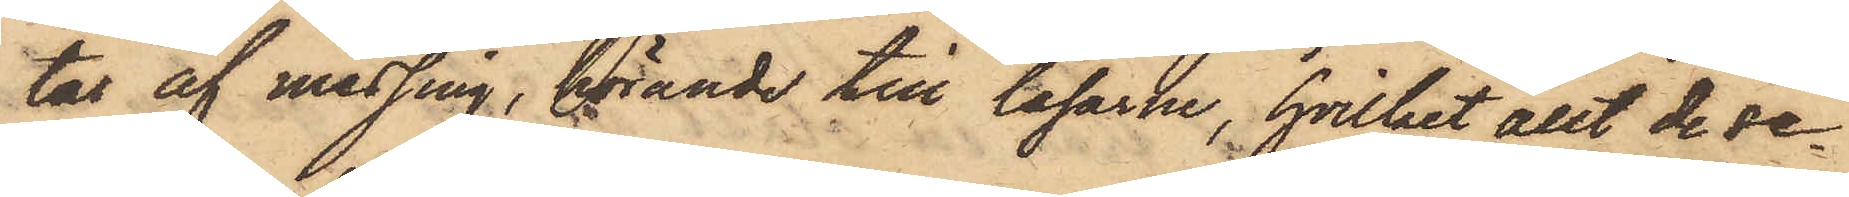tar af messing, hörande till låsarne, hvilket allt de se¬
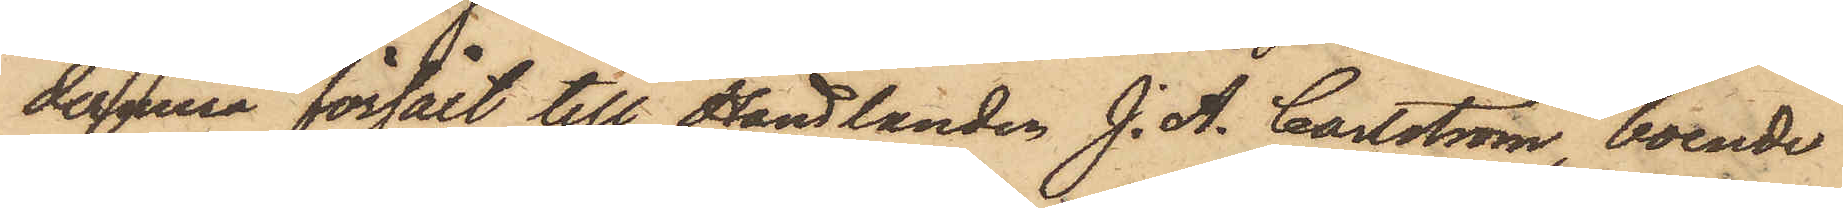dermera försålt till Handlanden J. A. Carlström, boende
